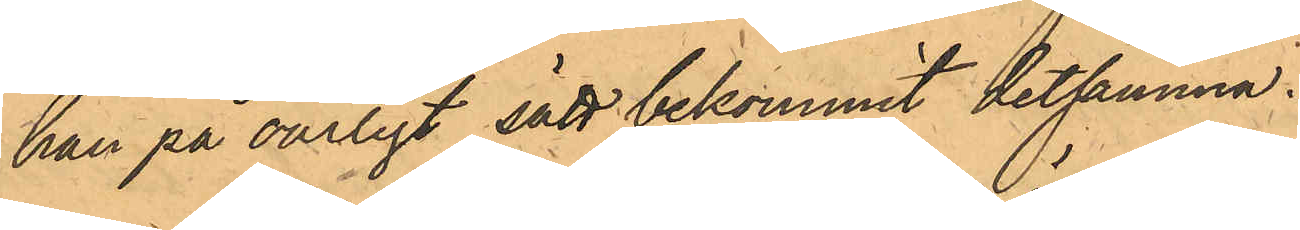han på oärligt sätt bekommit detsamma.
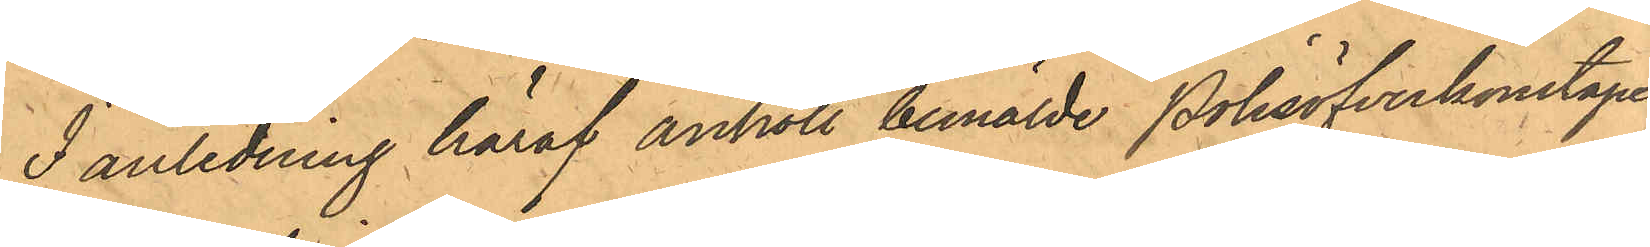I anledning häraf anhöll bemälde Polisöfverkonstapel
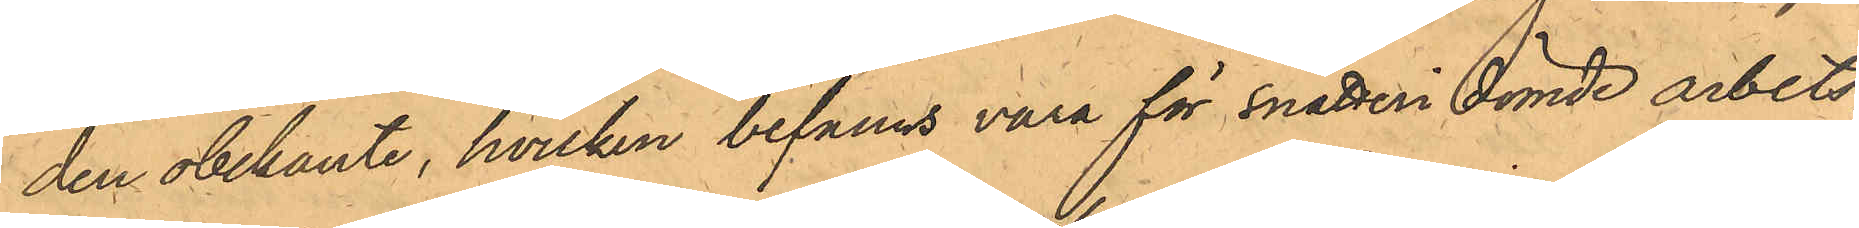den obekante, hvilken befanns vara för snatteri dömde arbets¬
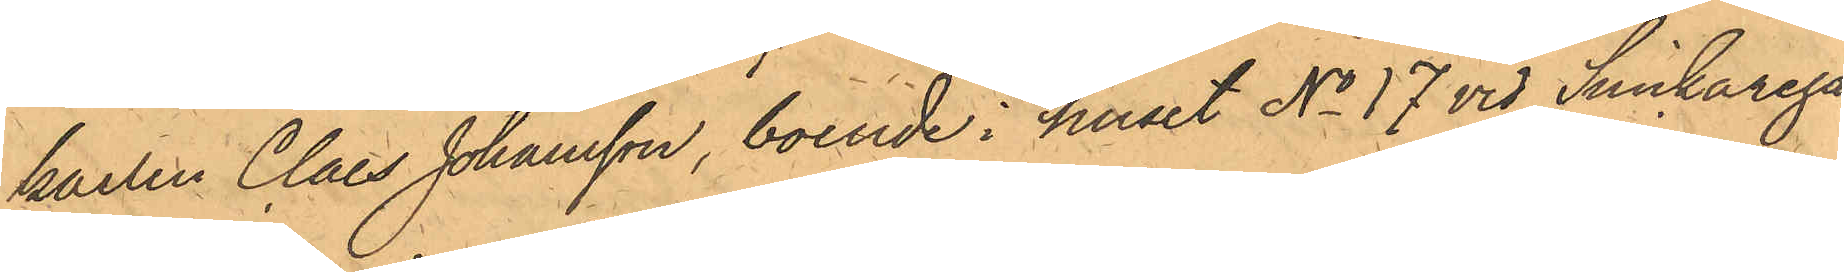karlen Claes Johansson, boende i huset No 17 vid Snickarega¬
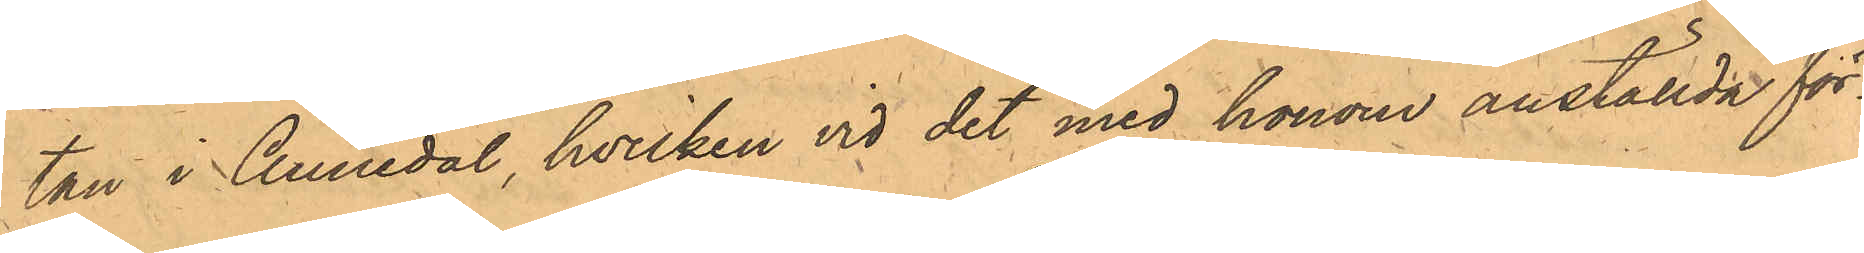tan i Annedal, hvilken vid det med honom anställde för¬
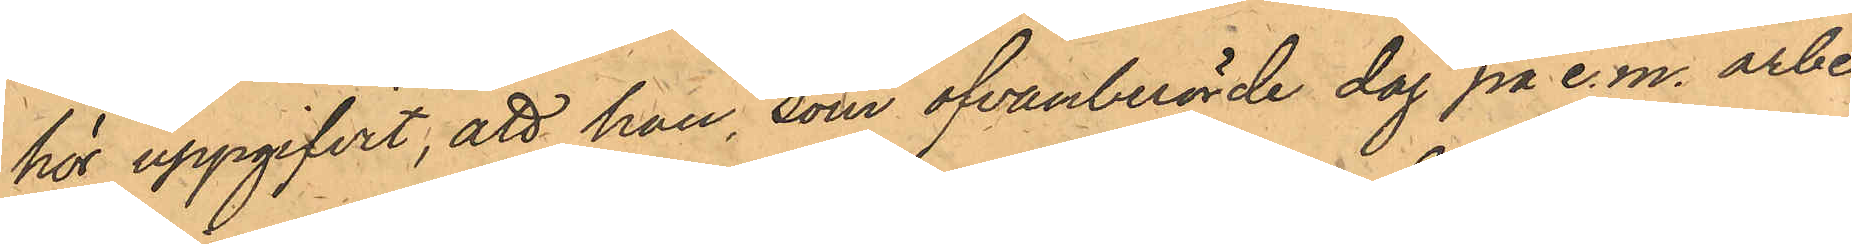hör uppgifvit, att han, som ofvanberörde dag på e.m. arbe¬
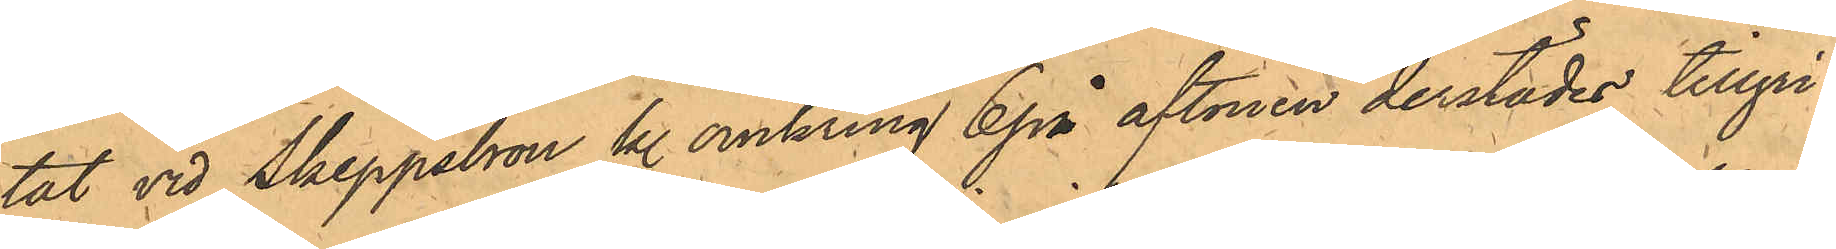tat vid Skeppsbron kl. omkring 6 på aftonen derstädes tillgri¬
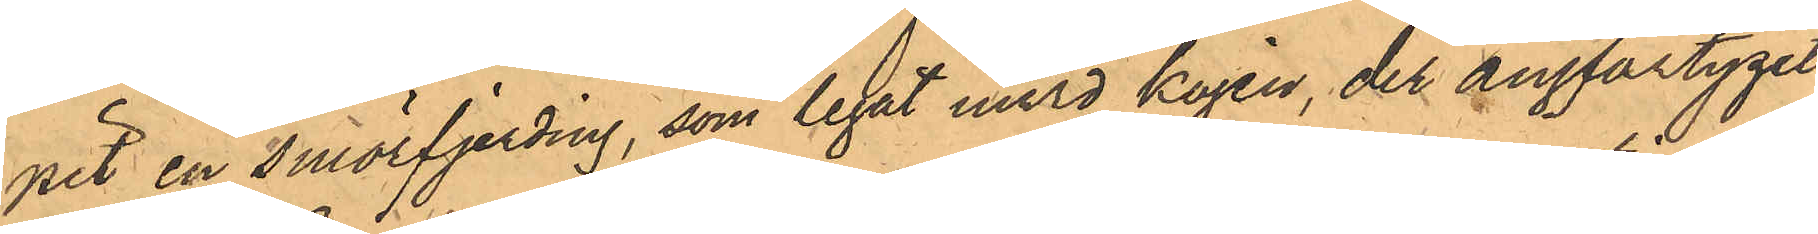pit en smörfjerding, som legat invid kajen, der ångfartyget
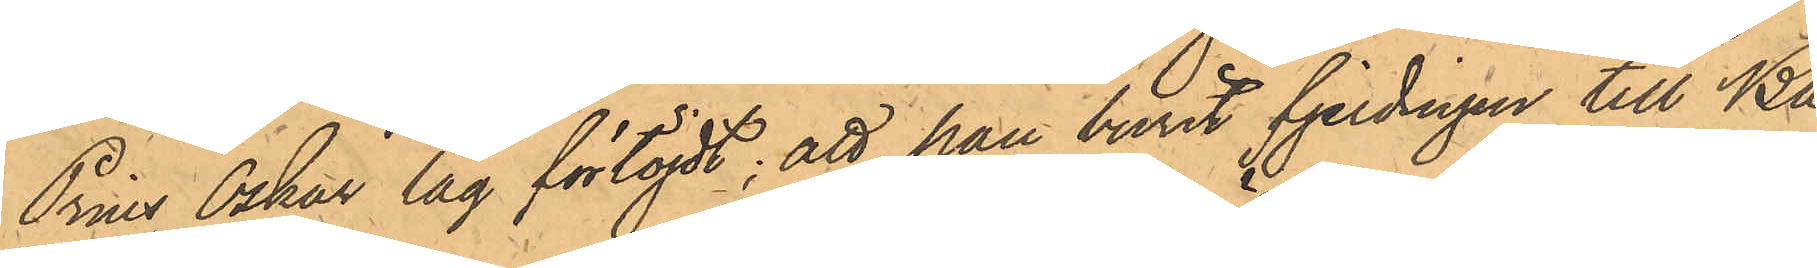Prins Oskar låg förtöjdt; att han burit fjerdingen till Ba¬
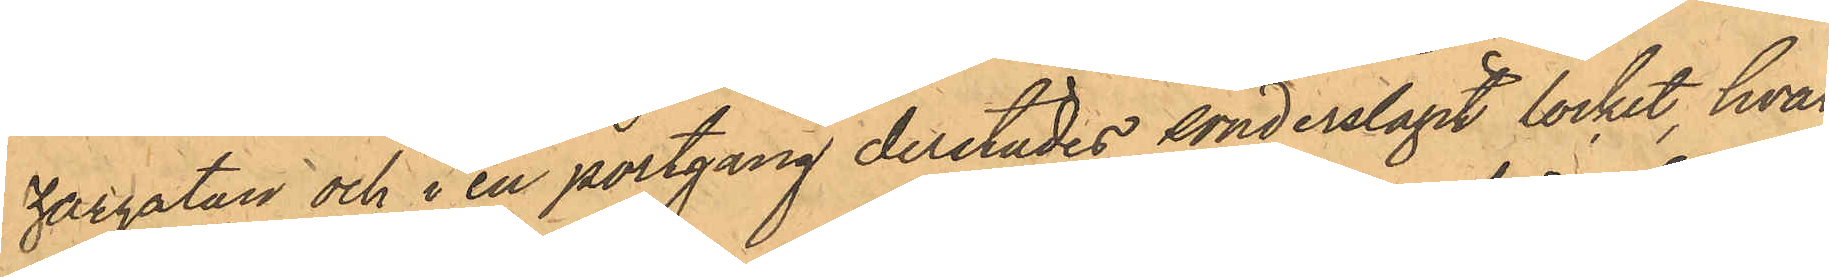zargatan och i en portgång derstädes sönderslagit locket, hvar¬
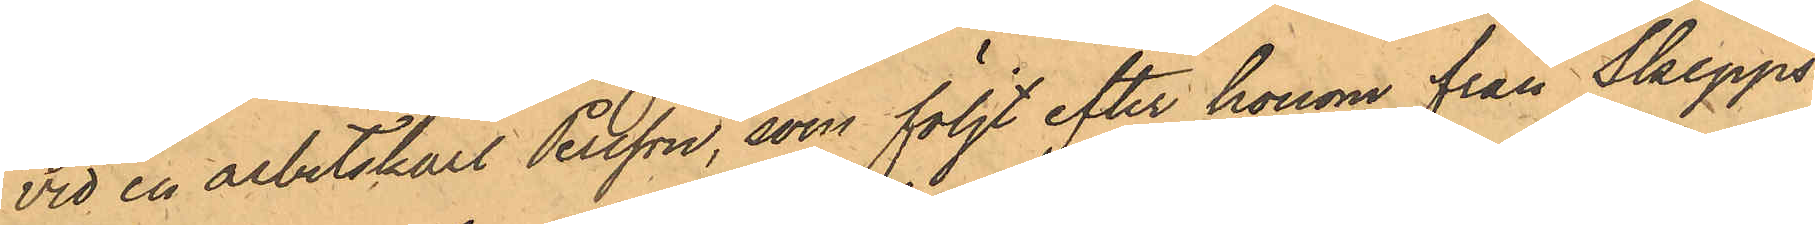vid en arbetskarl Persson, som följt efter honom från Skepps¬
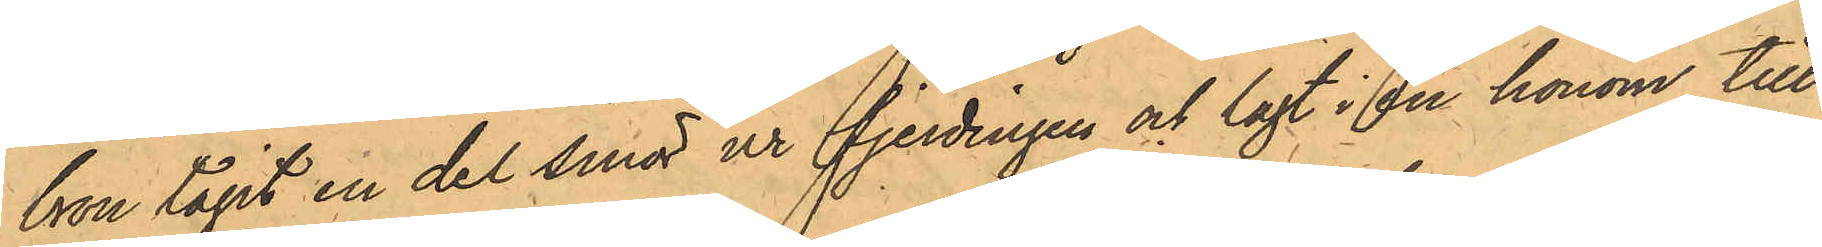bron tagit en del smör ur fjerdingen och lagt i en honom till¬
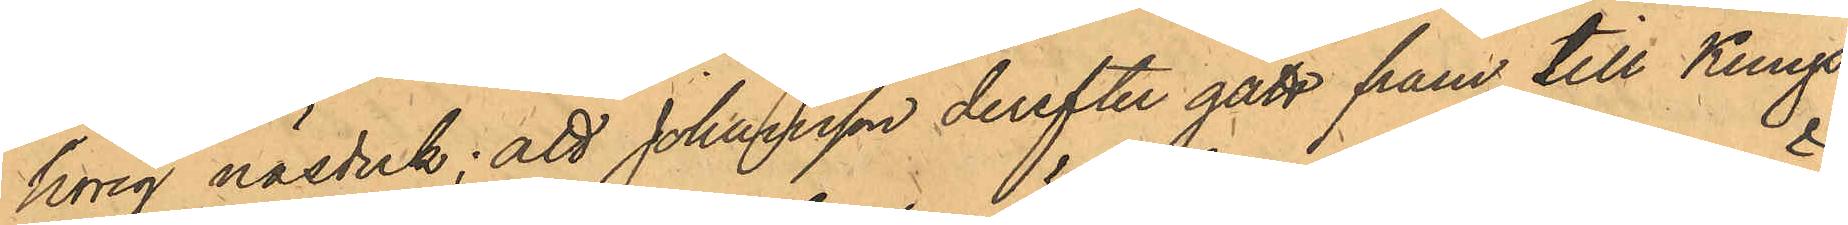hörig näsduk; att Johansson derefter gått fram till Kungs-
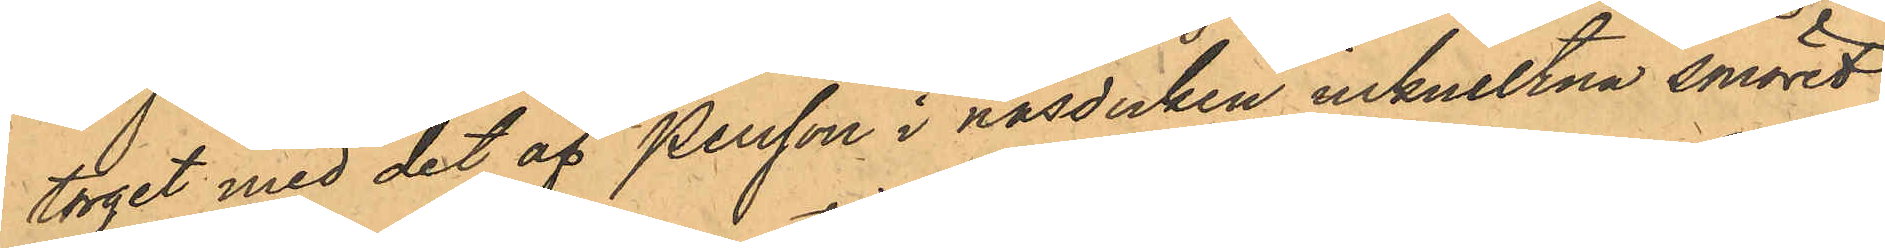torget med det af Persson i näsduken inknutna smöret
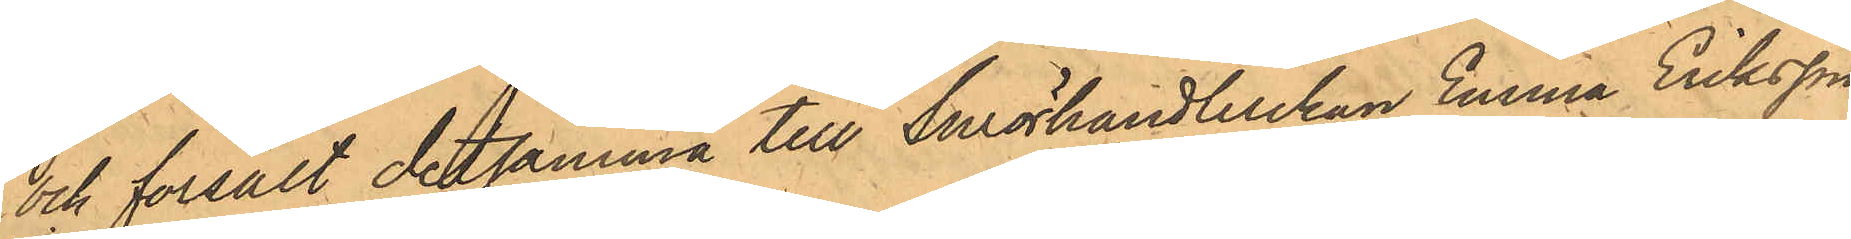och försålt detsamma till Smörhandlerskan Emma Eriksson
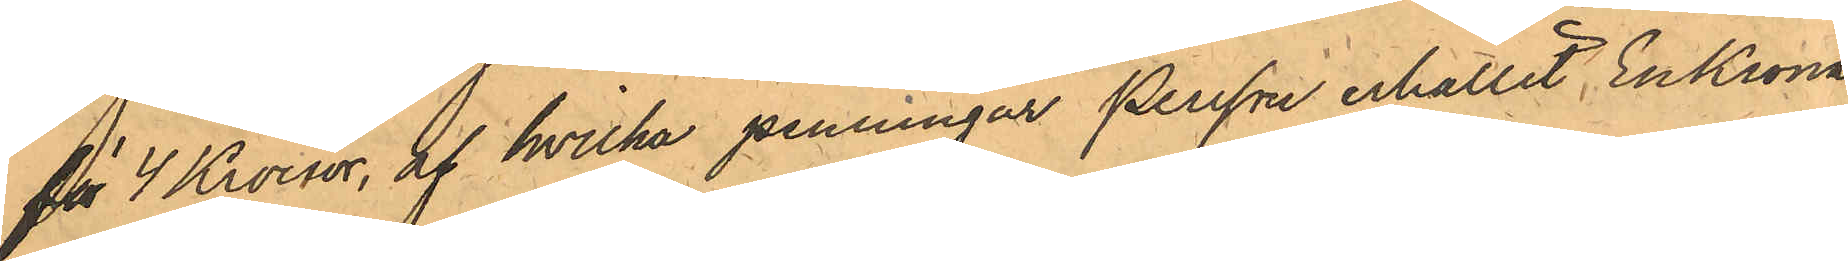för 4 Kronor, af hvilka penningar Persson erhållit En Krona;
